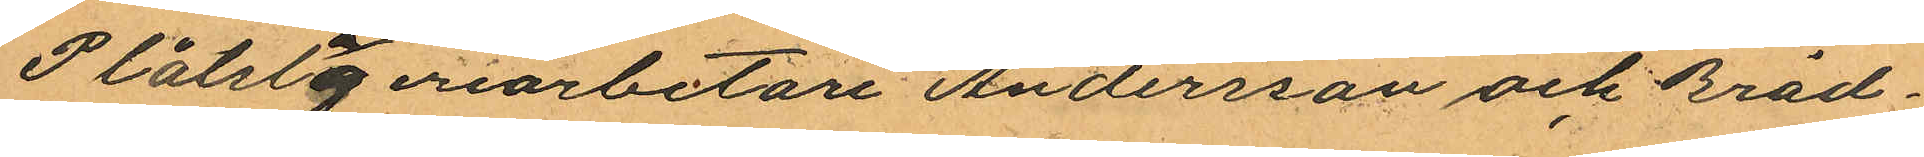Plåtslageriarbetare Andersson och Bräd¬
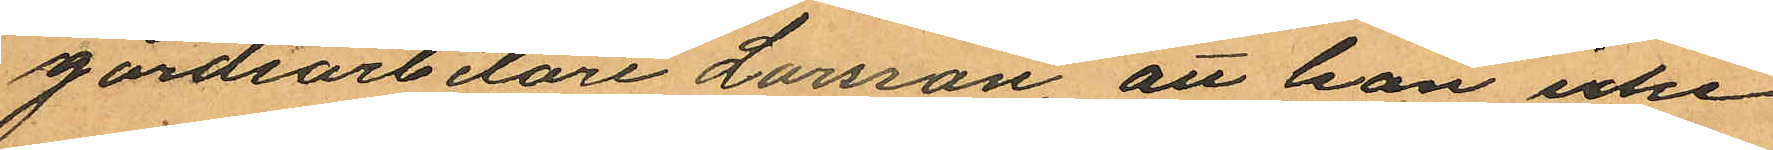gårdsarbetare Larsson, att hon icke
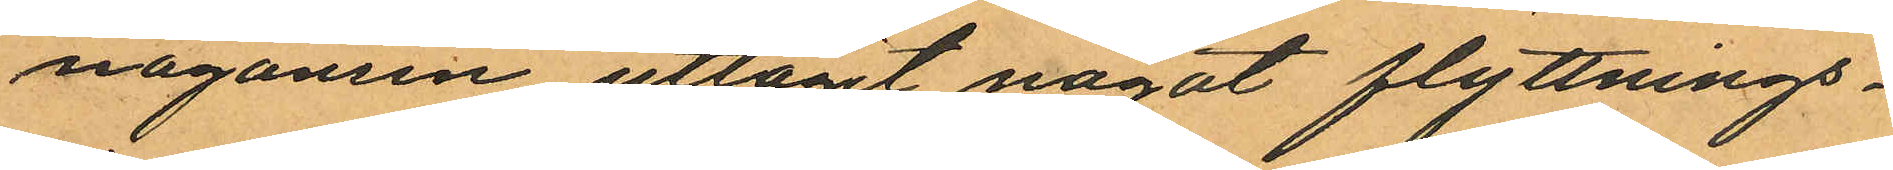någonsin uttagit något flyttnings¬
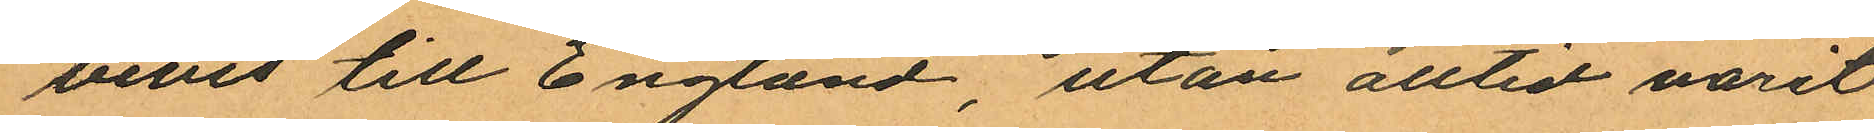bevis till England, utan alltid varit
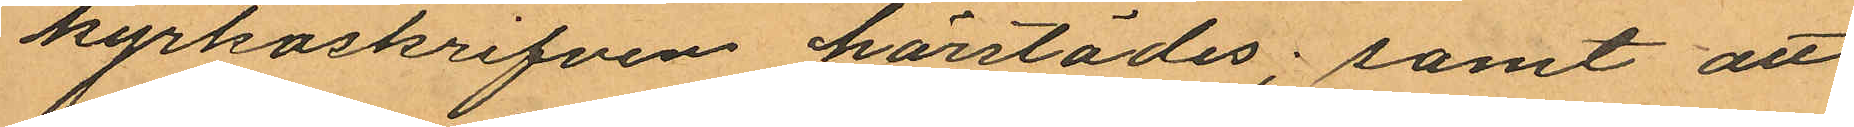kyrkoskrifven härstädes; samt att
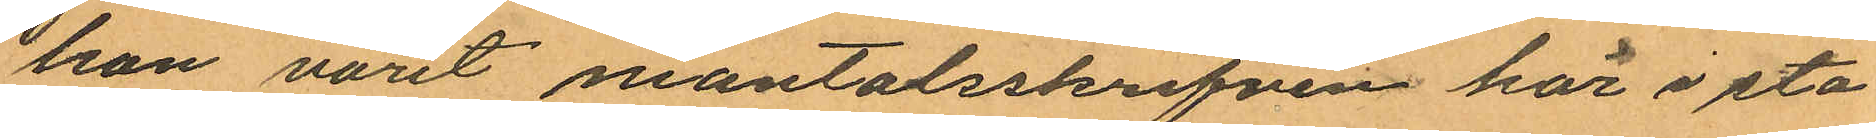hon varit mantalsskrifven här i sta¬
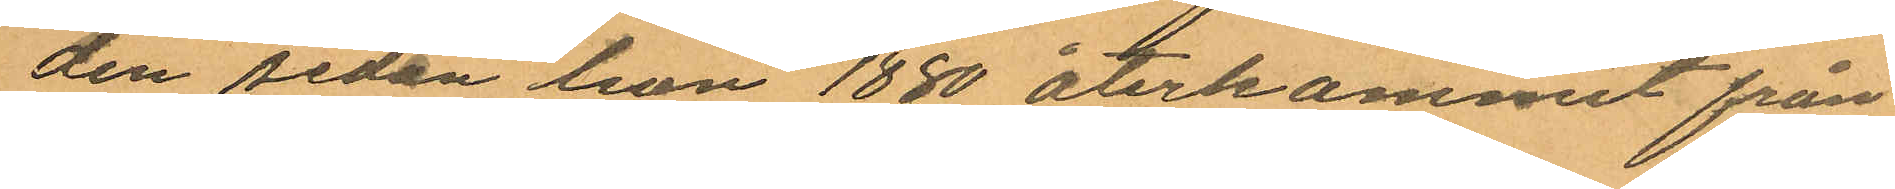den sedan hon 1880 återkommit från
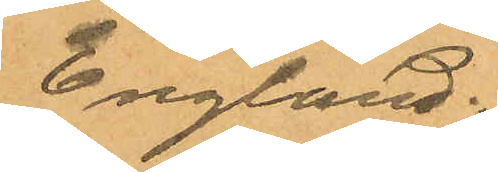England.
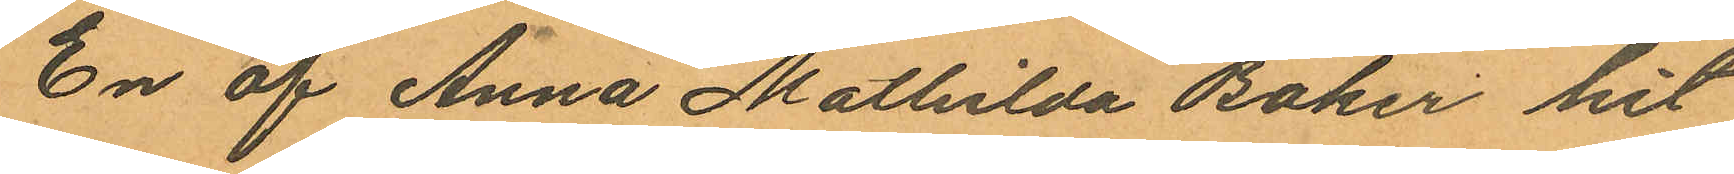En af Anna Mathilda Baker hit
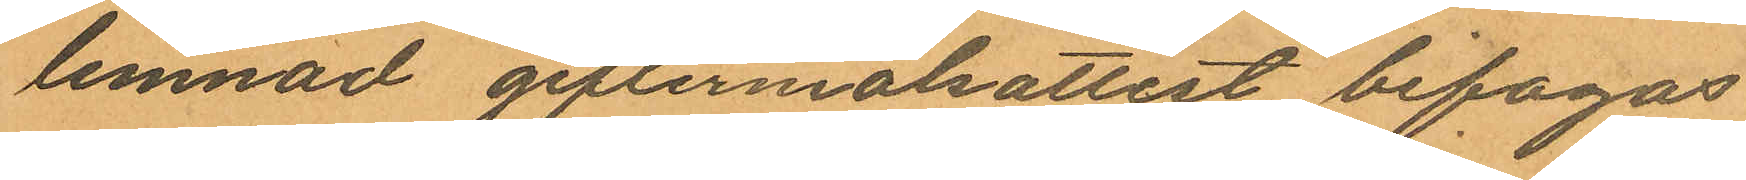lemnad giftermålsattest bifogas.
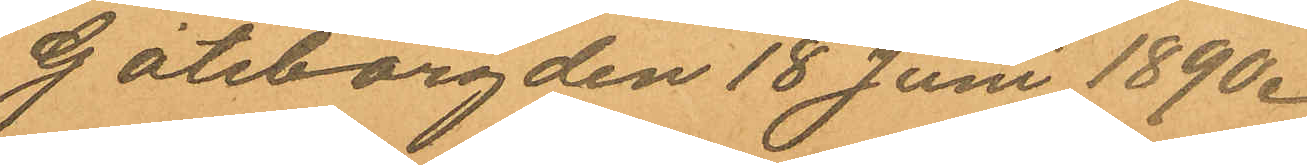Göteborg den 18 Juni 1890.
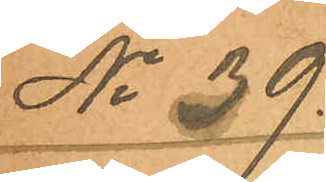No 39.
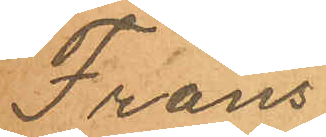Frans
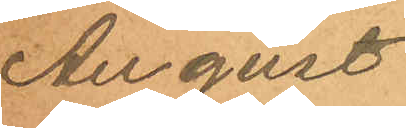August
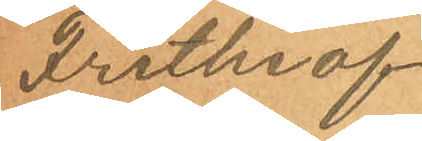Frithiof
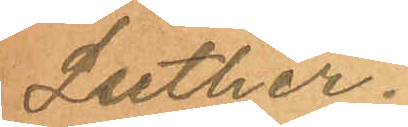Luther.
